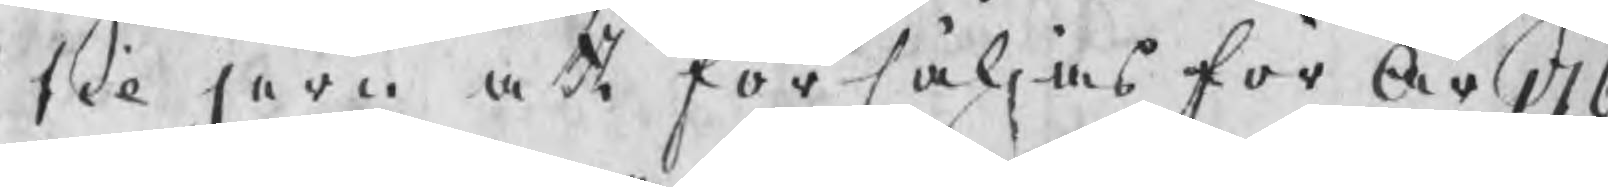til järn att försäljas för År 176
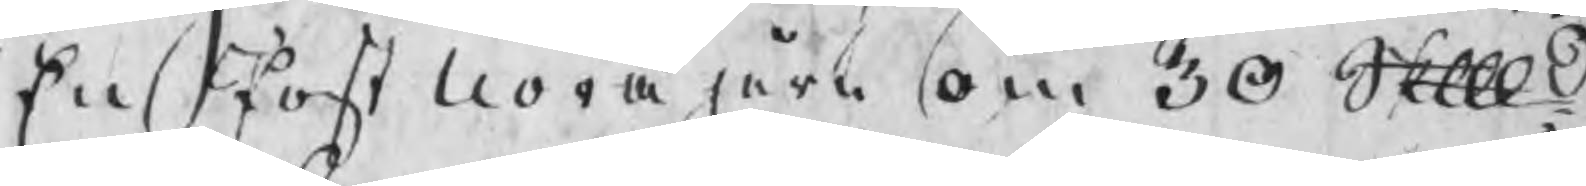En Post Norajärn om 30 Skpd
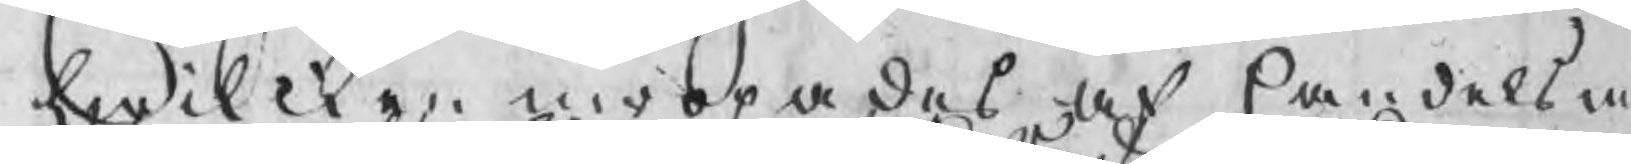hwilcken inropades af handelsm
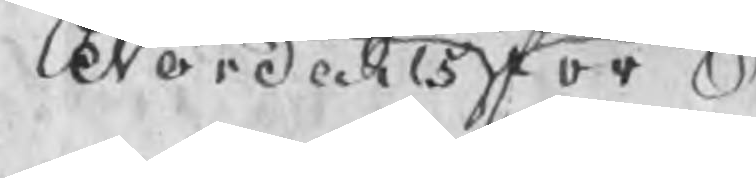Nordahls för 
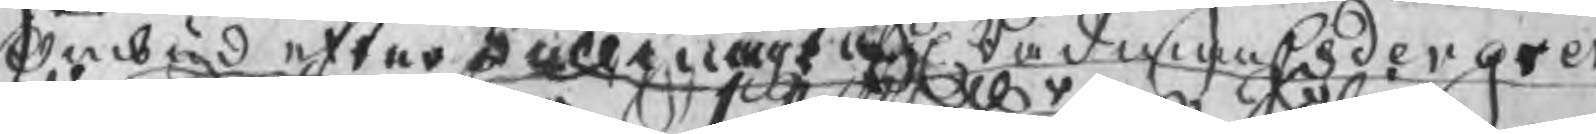Ombud efter fullmagt af Rådman Cedergren
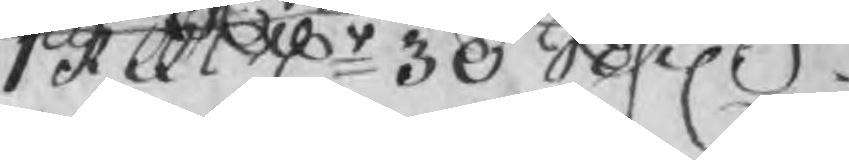1 Rdr 30 Schil.
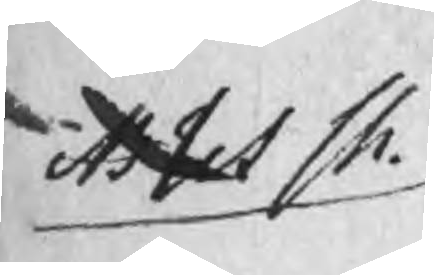Attest Ch.
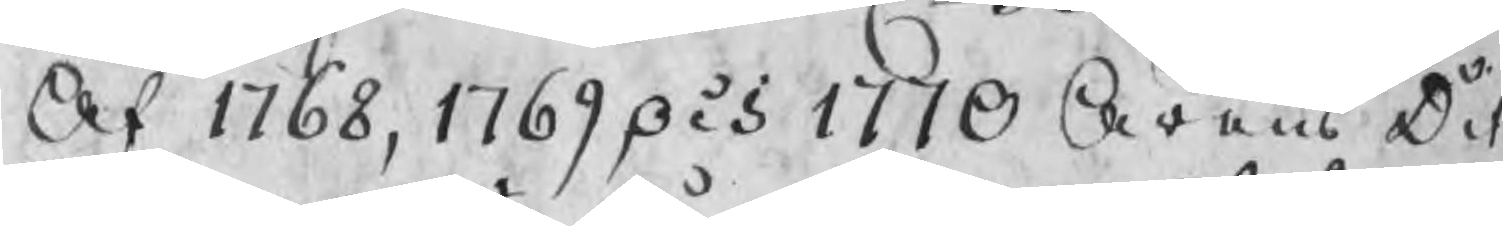Af 1768, 1769 och 1770 Årens Dit
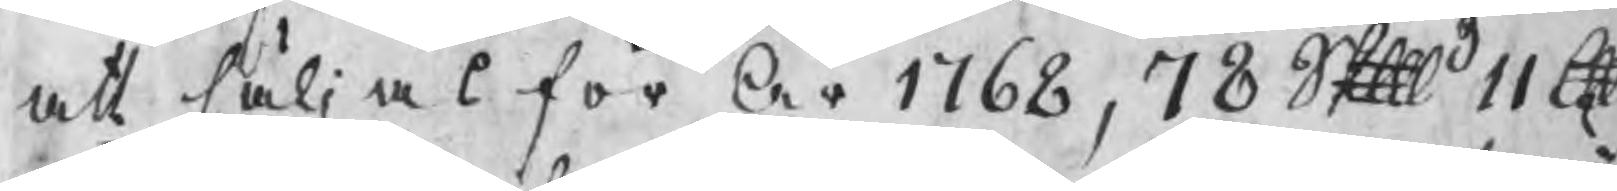att säljas för År 1768, 78 Skp 11 lpd
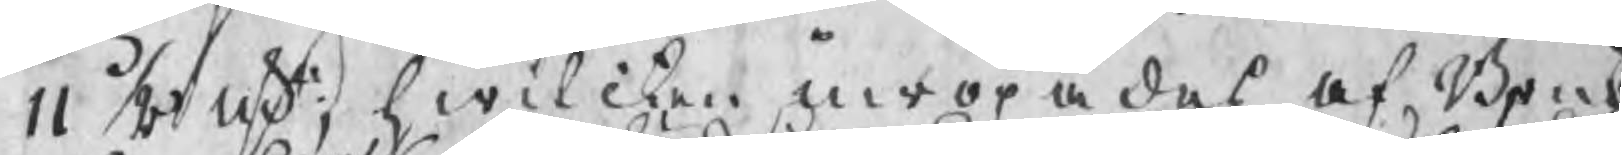11 1/8 nst, hwilcken inropades af Bruks
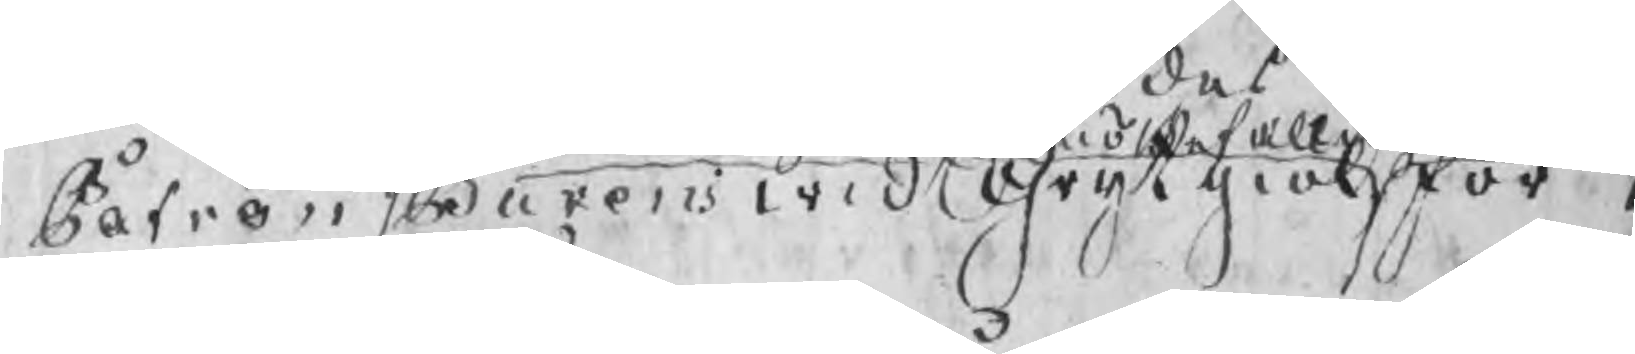Patron Burens wid Grytgiöl för 1
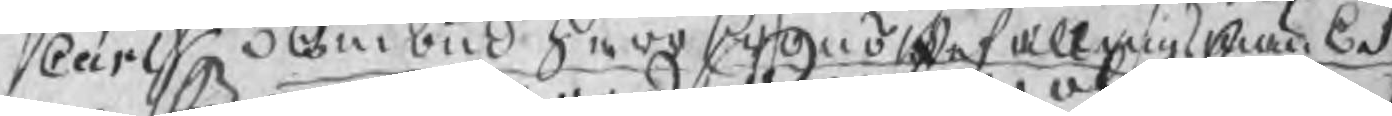Carl  Ombud Herr CronoBefallningsman E Sva
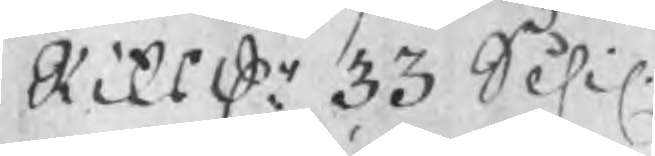Riksdr 33 Schil
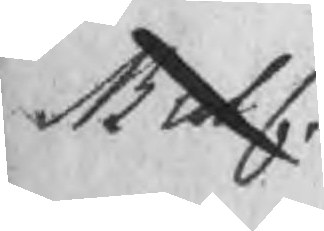MutC.
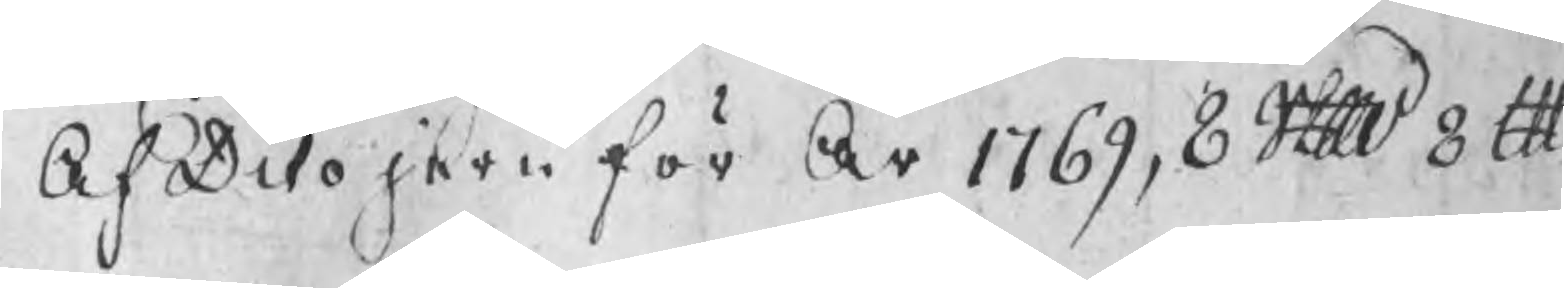Af Dito jern för År 1769, 8 Skp 8 lpd
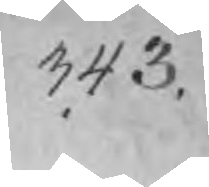343.
